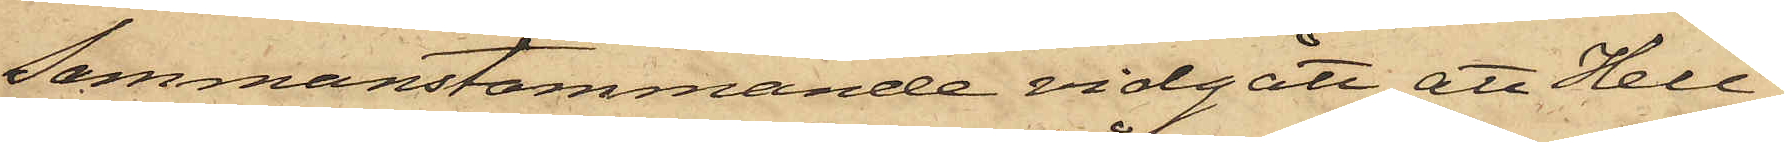sammanstämmande vidgått att Hell¬
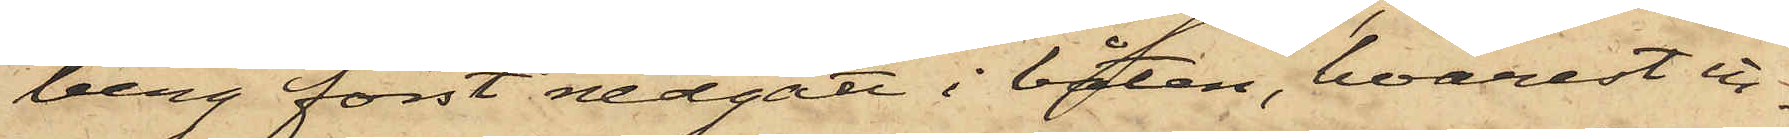berg först nedgått i båten, hvarest in¬
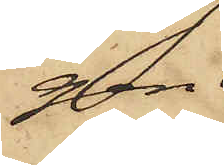gen
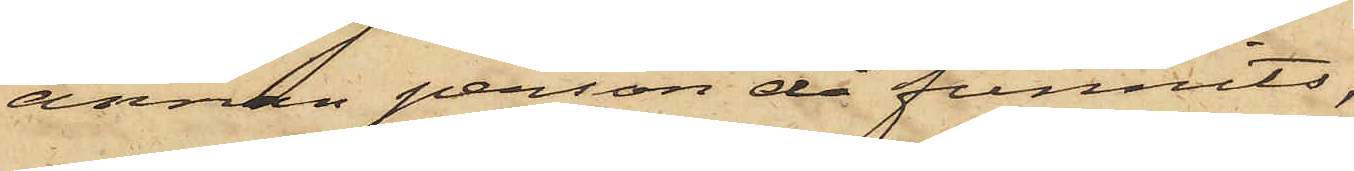annan person då funnits,
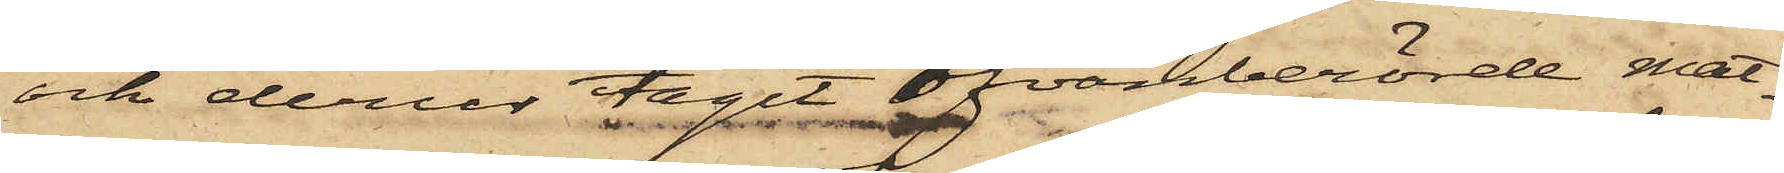och derur tagit ofvanberörde mat¬
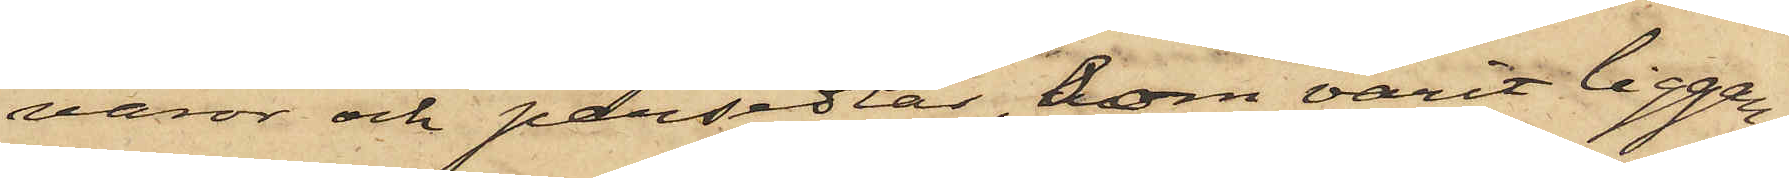varor och persedlar, som varit liggan¬
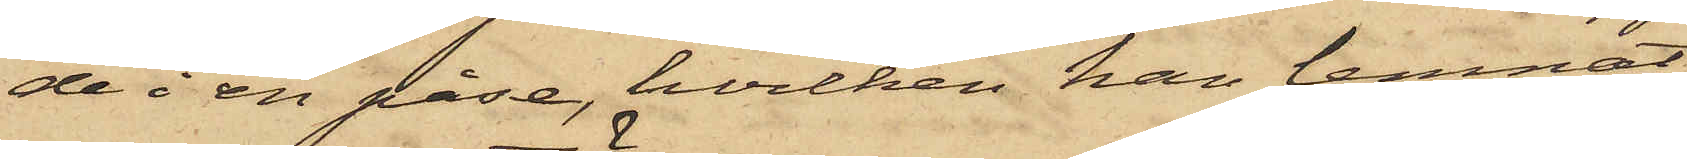de i en påse, hvilken han lemnat
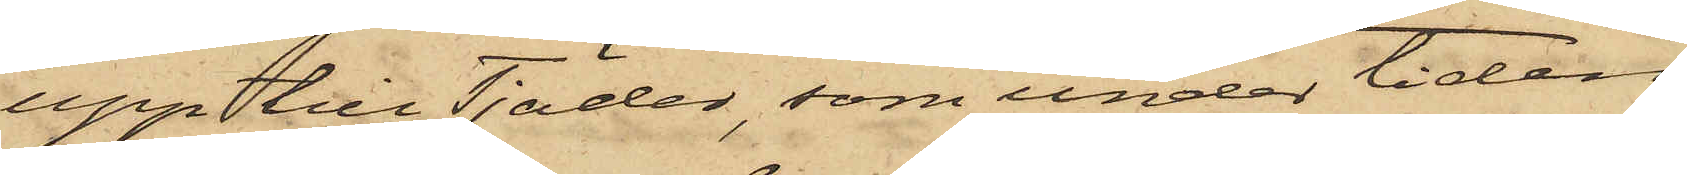upp till Tjäder, som under tiden
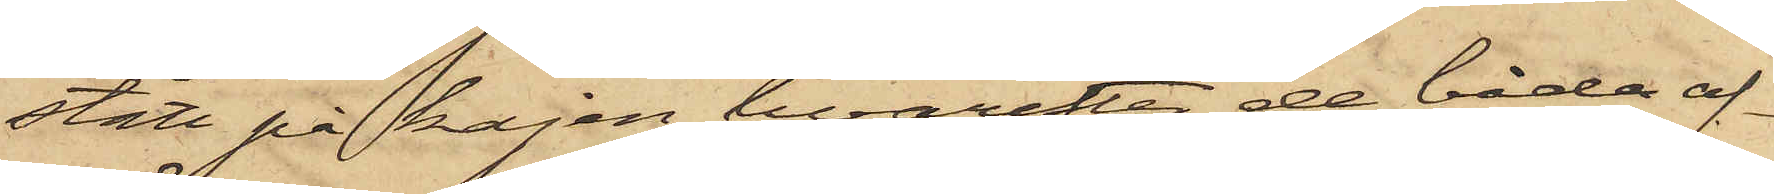stått på kajen, hvarefter de båda af¬
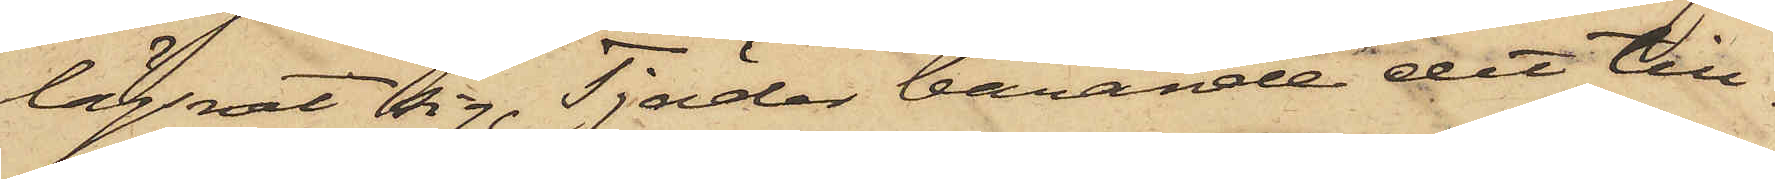lägsnat sig, Tjäder bärande det till¬
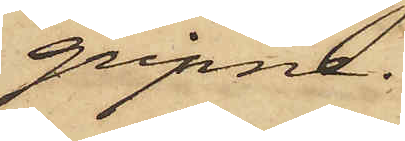gripne.
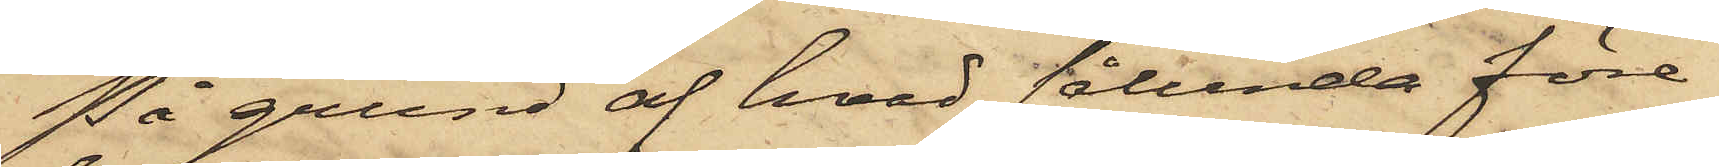På grund af hvad sålunda före¬
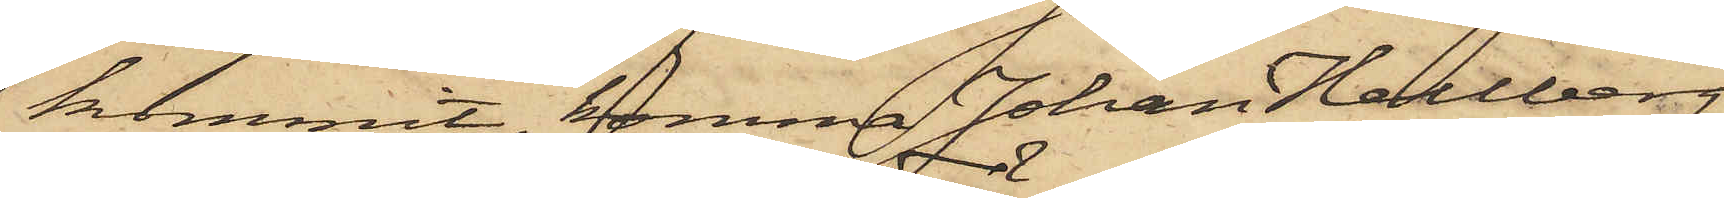kommit, komma Johan Hellberg
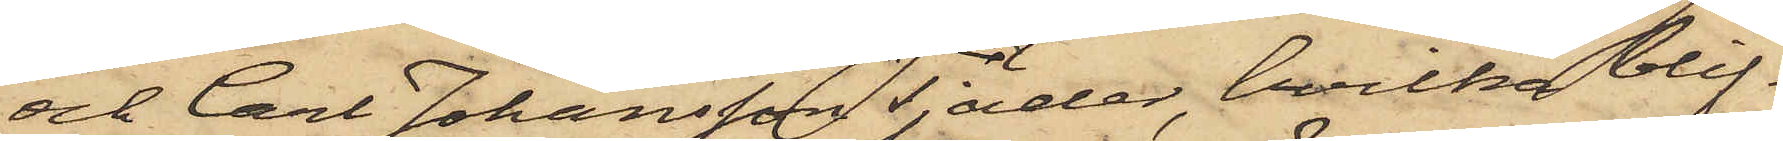och Carl Johansson Tjäder, hvilka blif¬
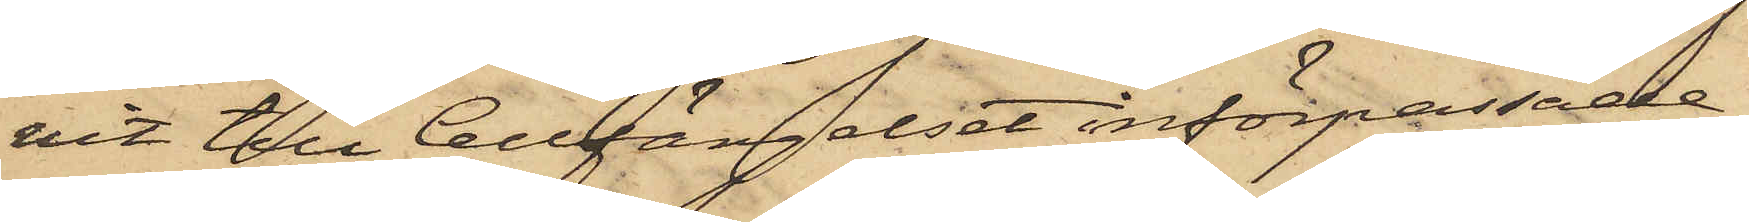vit till Cellfängelset införpassade,
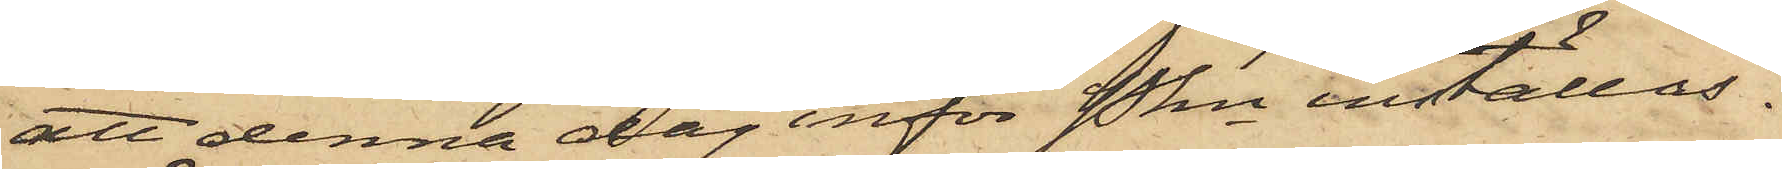att denna dag inför Pkn inställas.
